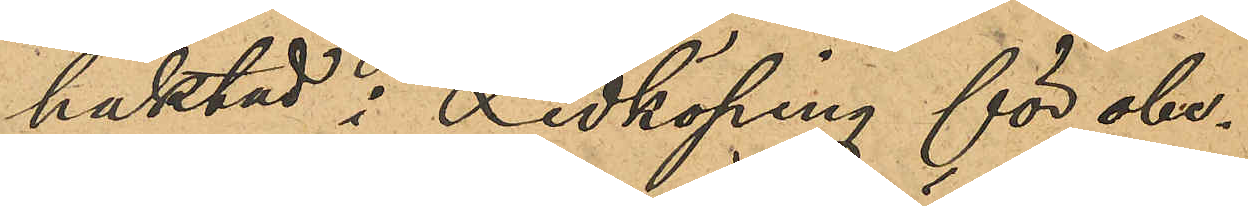häktad i Lidköping för obe¬
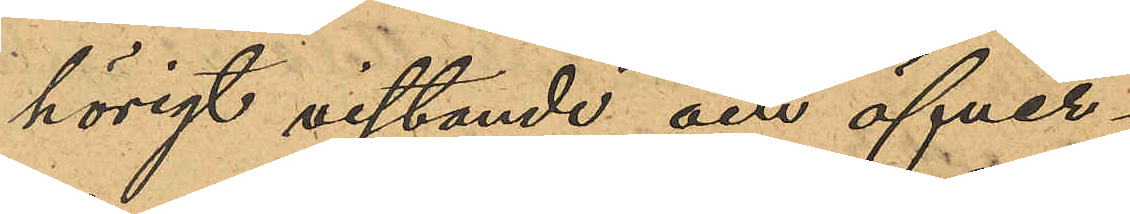hörigt vistande och öfver¬
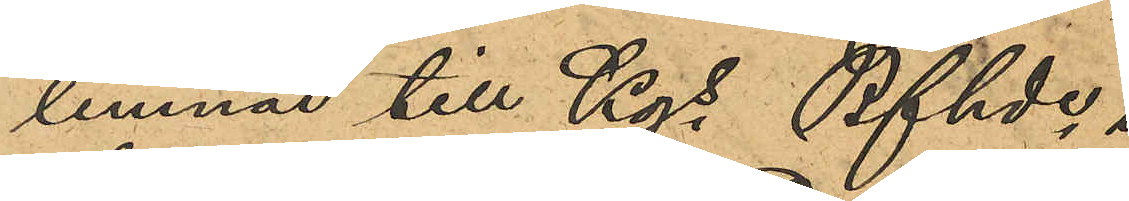lemnad till Kgs Bfhde i
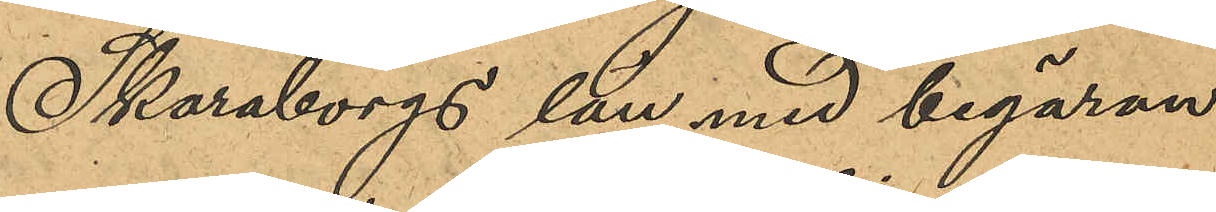Skaraborgs län med begäran
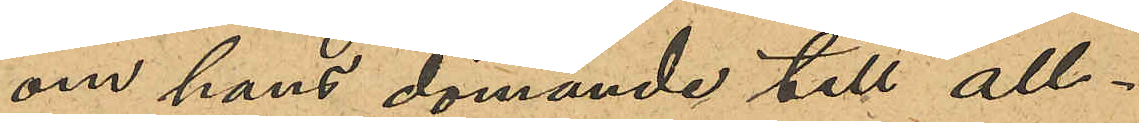om hans dömande till all¬
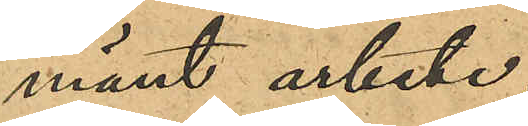mänt arbete.
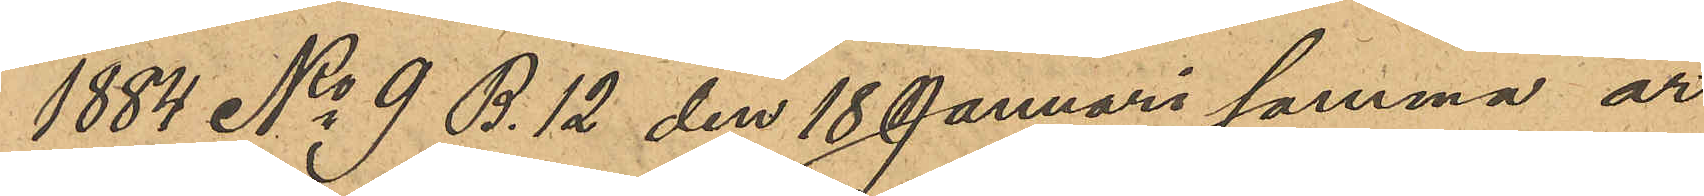1884 No 9 B.12 den 18 Januari samma år
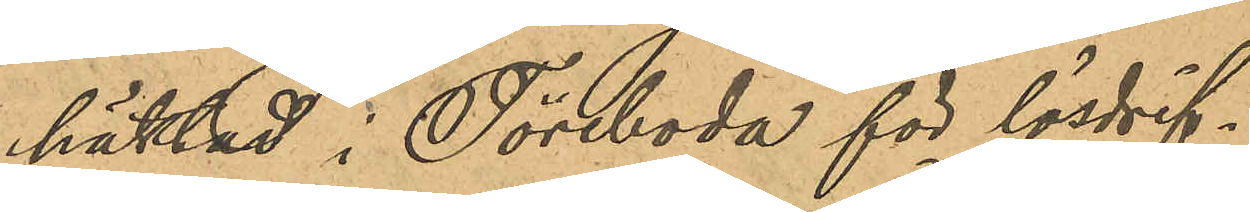häktad i Töreboda för lösdrif¬
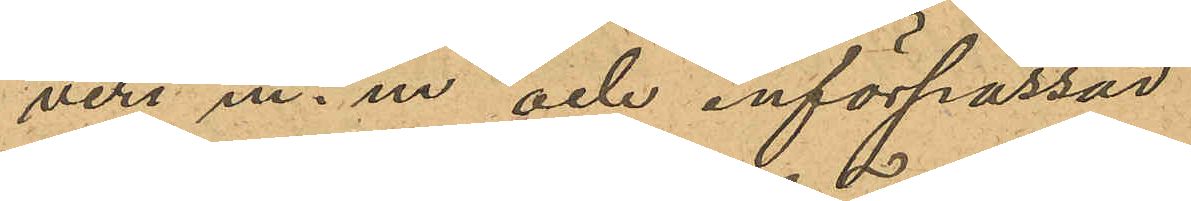veri m. m. och införpasad
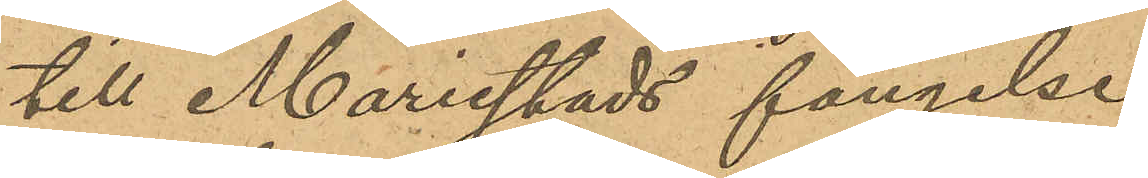till Mariestads fängelse
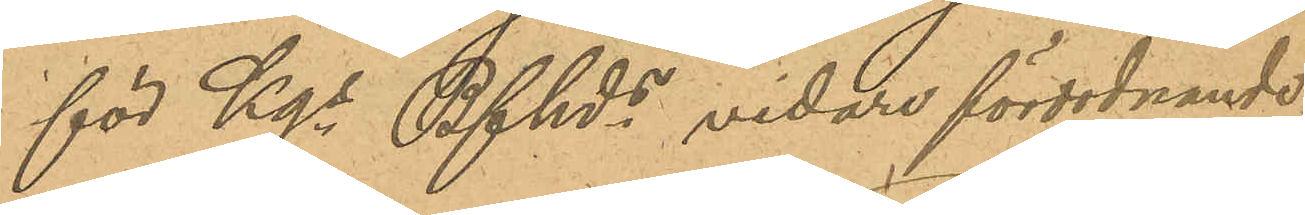för Kgs Bfhds vidare förordnande
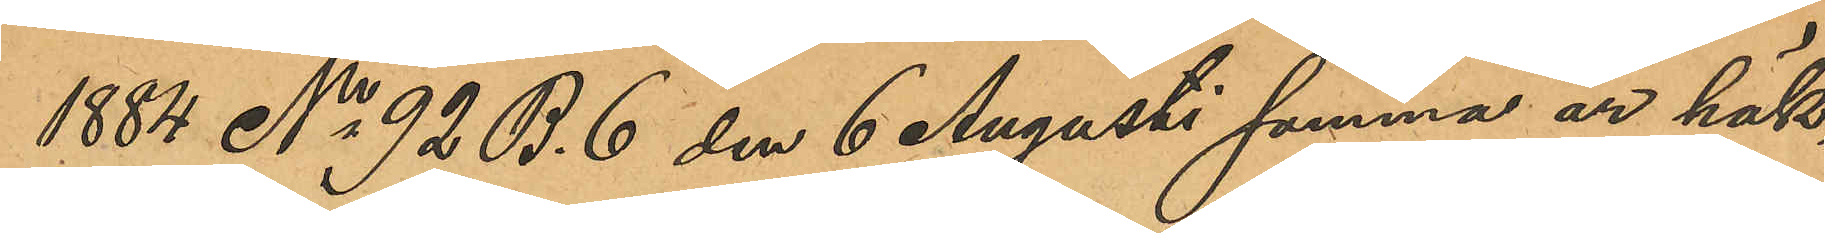1884 No 92 B.6 den 6 Augusti samma år häk¬
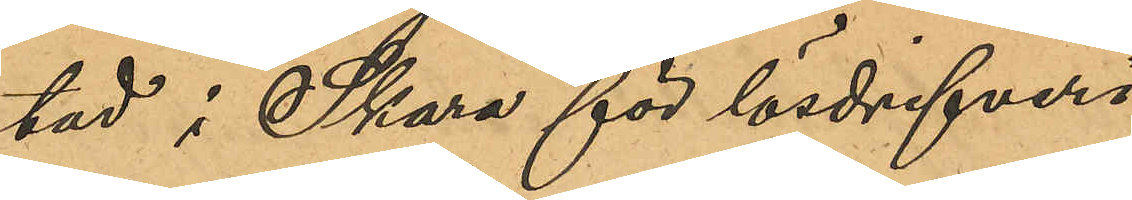tad i Skara för lösdrifveri
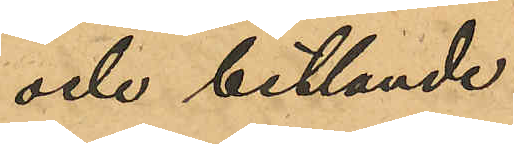och betlande.
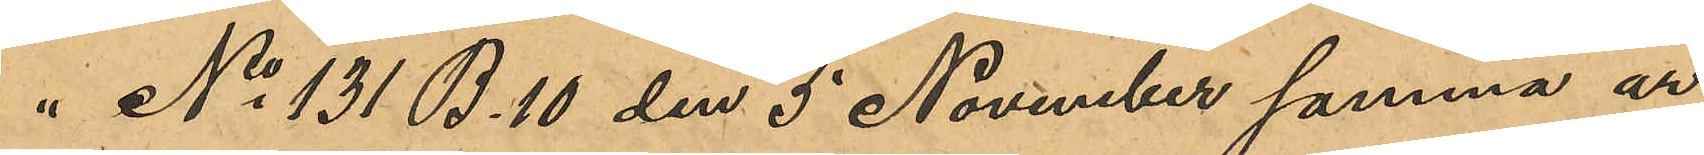" No 131 B.10 den 5 November samma år
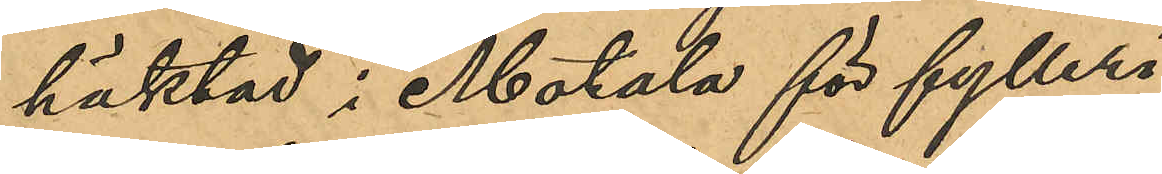häktad i Motala för fylleri
